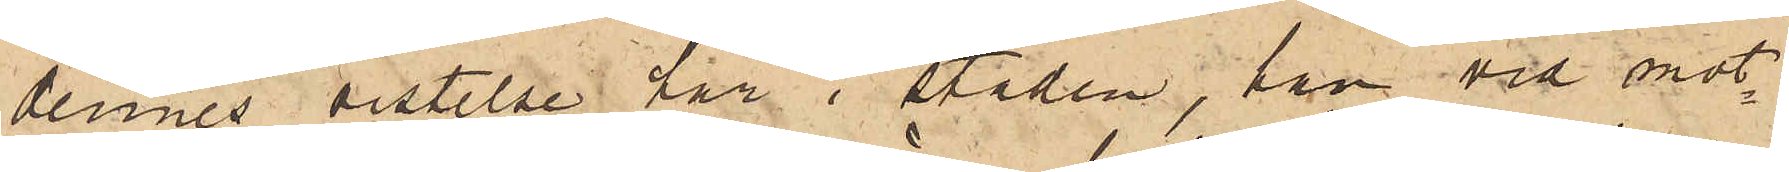dennes vistelse här i staden, han vid mot¬
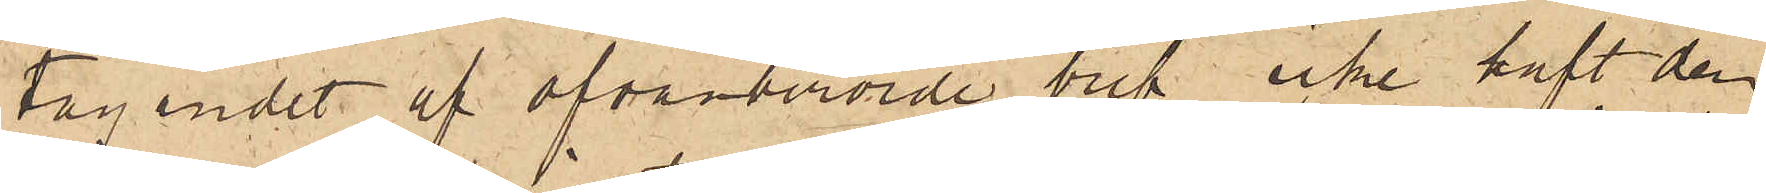tagandet af ofvanberörde bref icke haft den
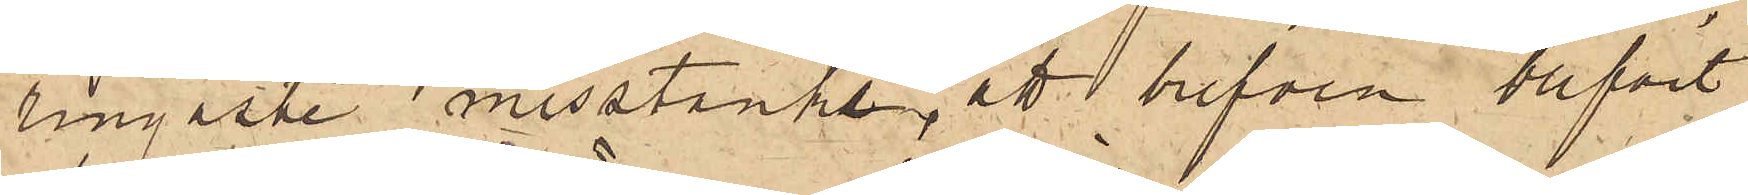ringaste misstanke, ett brefven blifvit
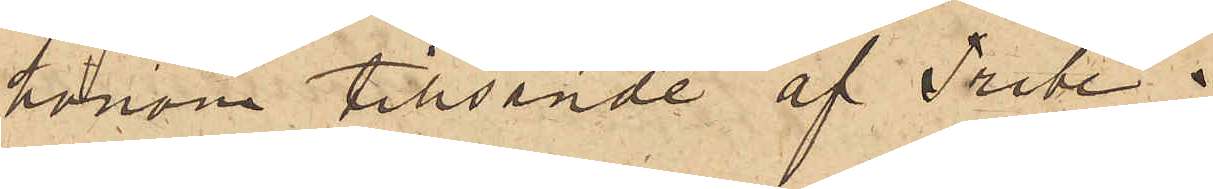honom tillsände af Tribe.
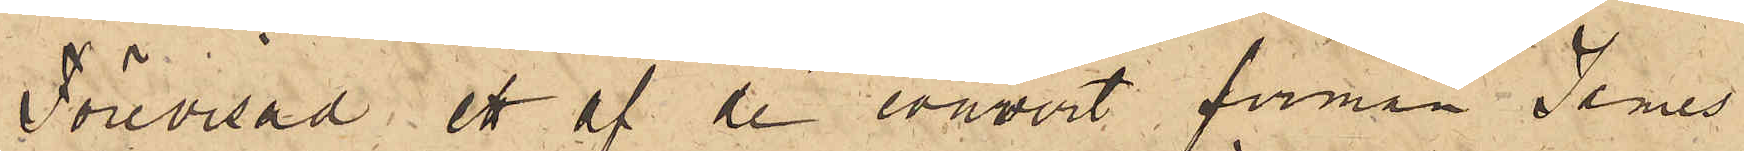Förevisad ett af de couvert firman James
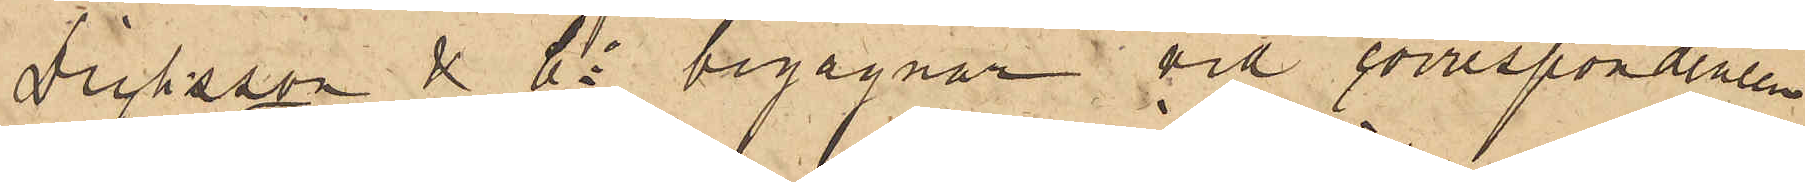Dicksson & Co begagnar vid correspondens
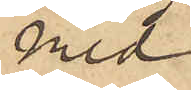med
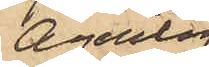agenten
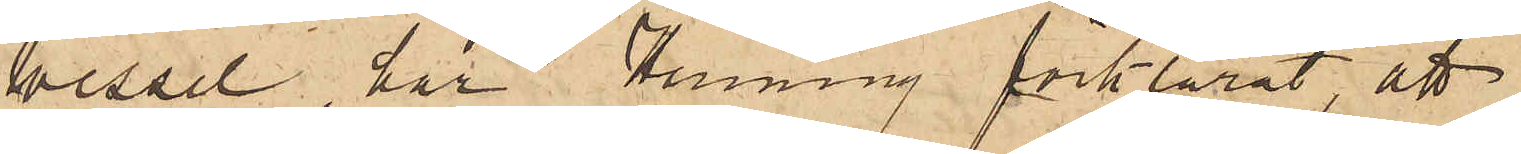Wessel, har Henning förklarat, att
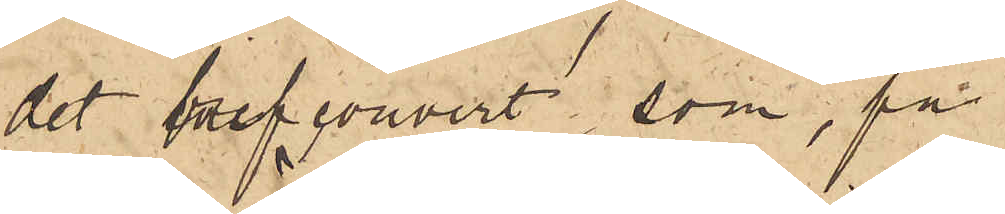det brefcouvert, som, på
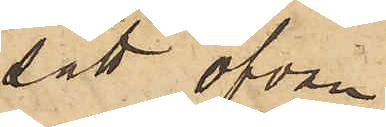sätt ofvan
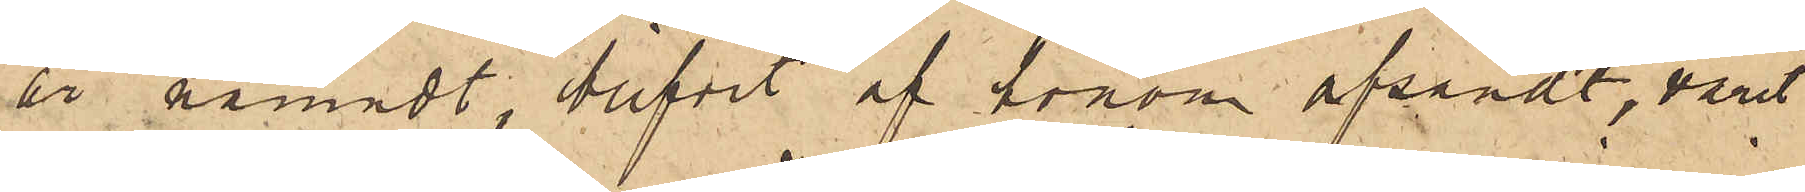är nämndt, blifvit af honom afsändt, varit
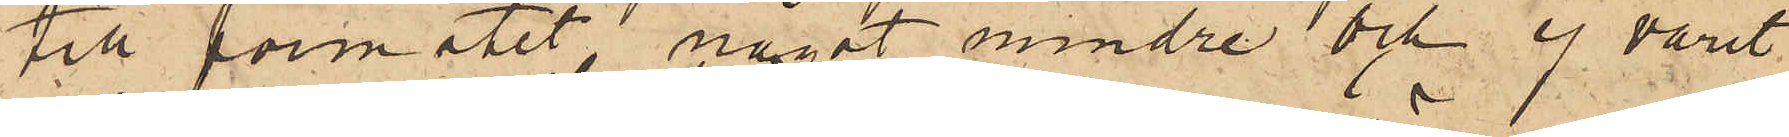till formatet något mindre och ej varit
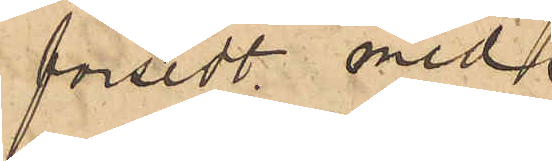försedt med
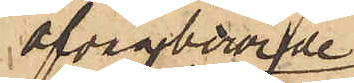ofvanberörde
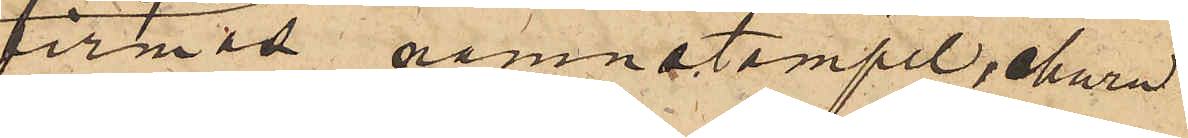firmas namnstämpel, ehuru
